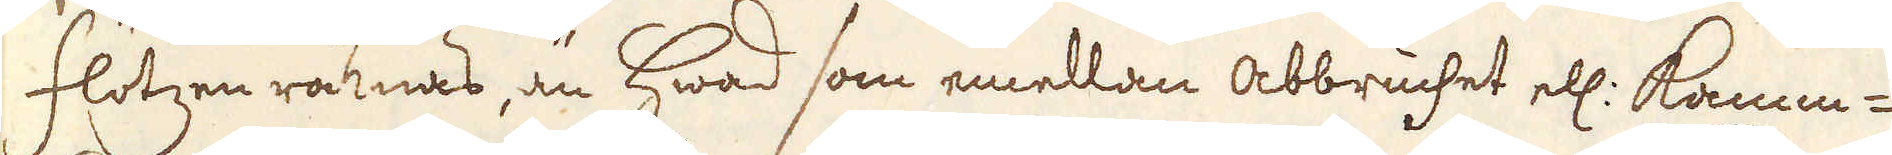flötzen räknas, än hwad som emellan abbruchet ell: Kamm-
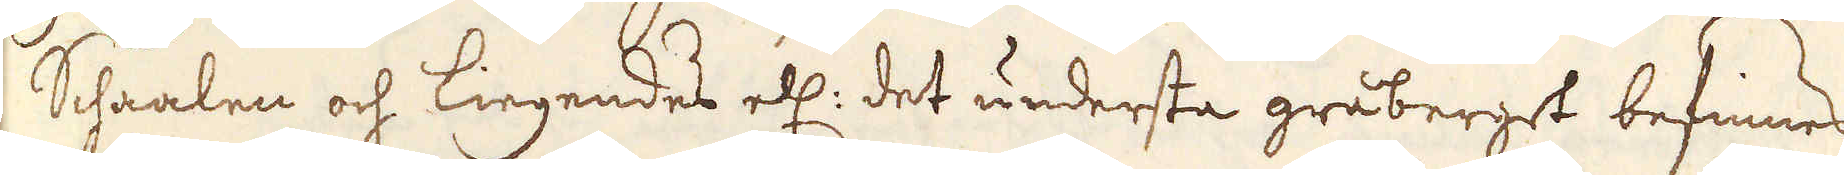Schaalen och Liegendes ell: det understa gråberget befinnes,
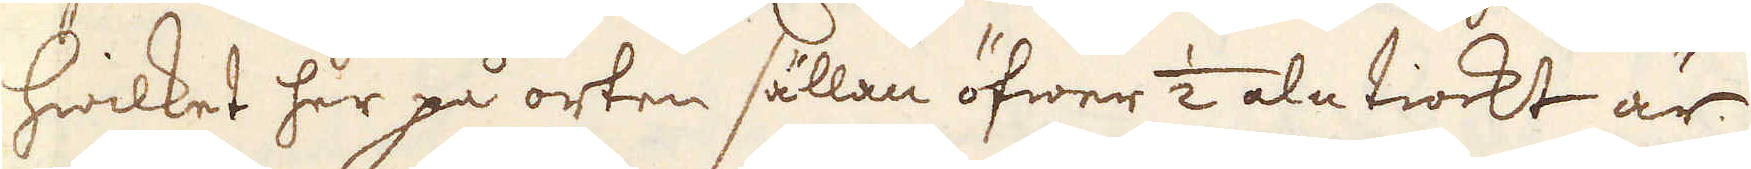hwilket her på orten sällan öfwer 1/2 aln tiockt är.
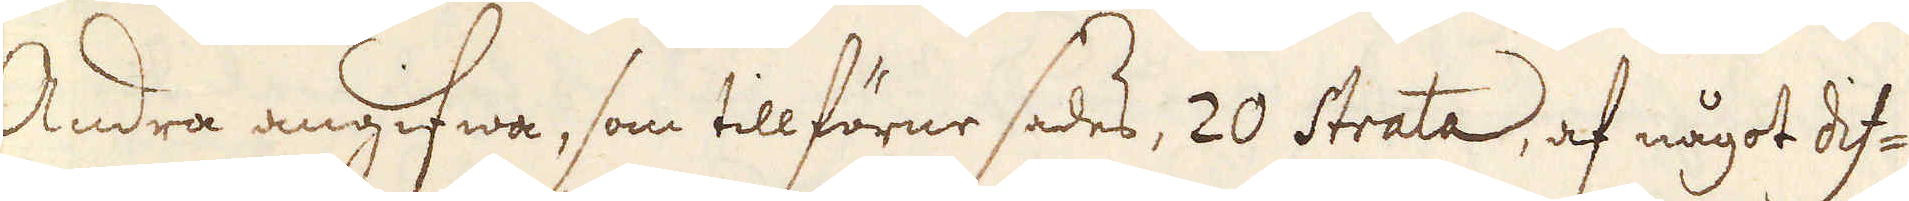Andra angifwa, som tillförne sades, 20 Strata, af något dif-
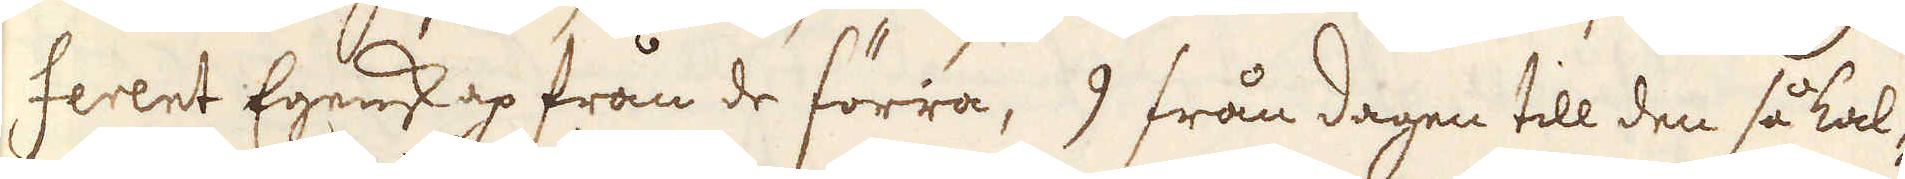ferent Egenskap från de förra, 9 från dagen till den så kal-
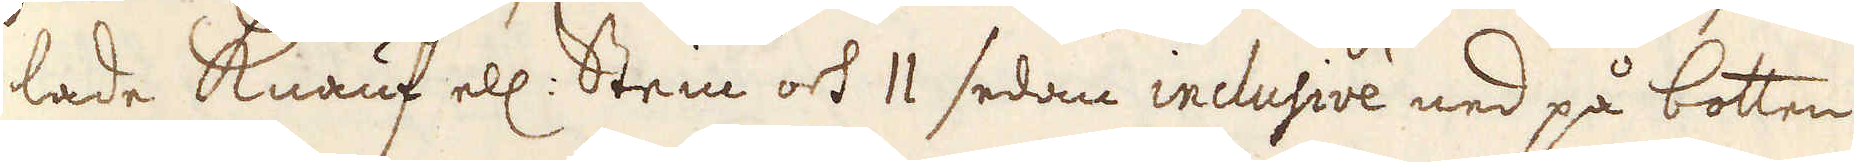lade Knauf ell: Stein och 11 sedan inclusive ned på botten
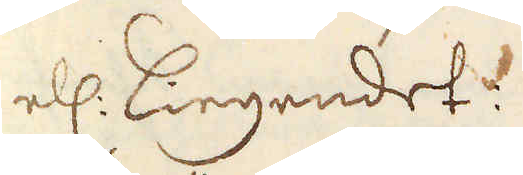el: Liegendet.
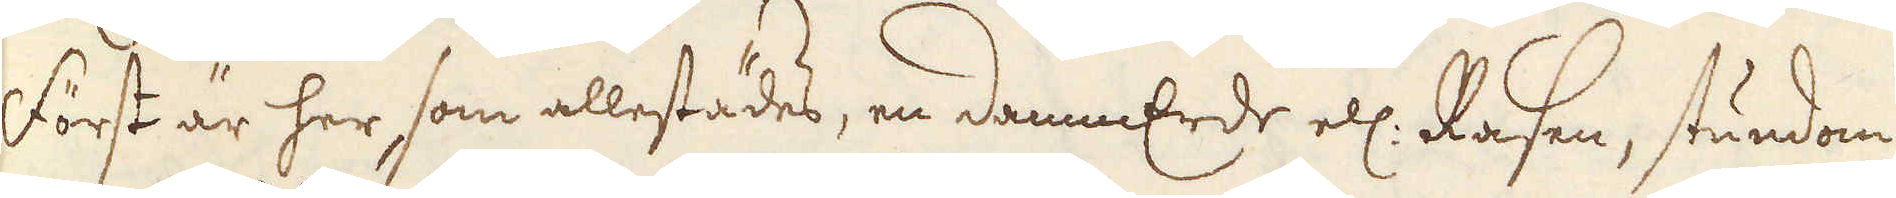Först är her, som allestädes, en dammErde ell: Rasen, stundom
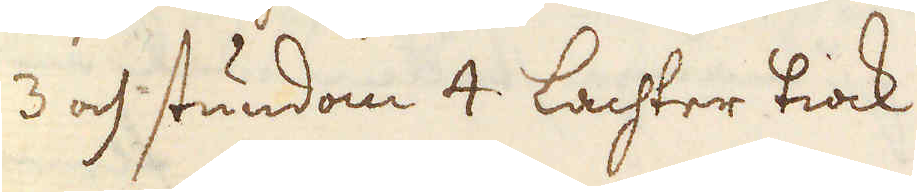3 och stundom 4 Lachter tiock.
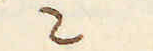/2.
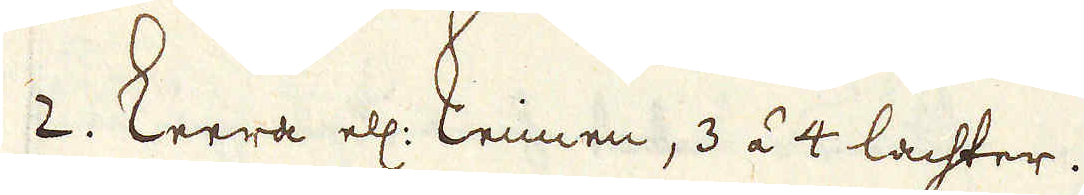2. Leera ell: Leimen, 3 á 4 lachter.
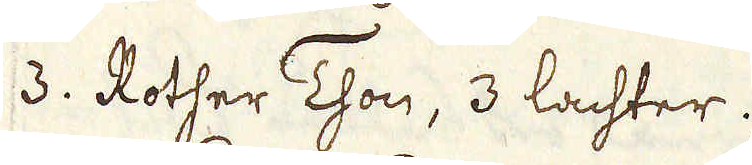3. Rother Thon, 3 lachter.
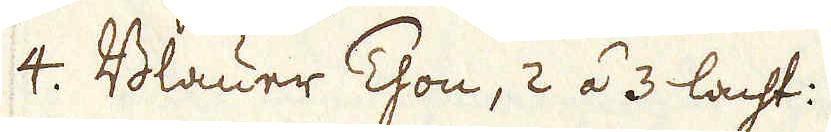4. Blauer Thon, 2 á 3 lacht:.
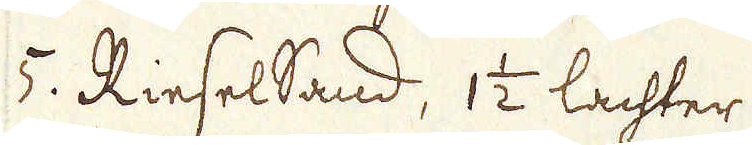5. Riesel Sand, 1 1/2 lachter.
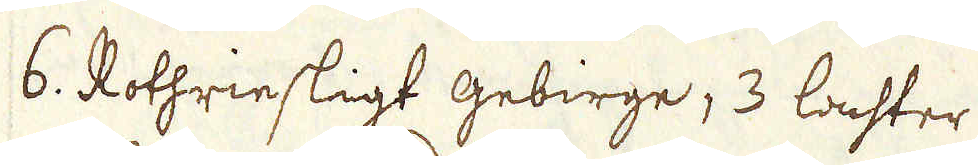6. Rothriesligt gebirge, 3 lachter.
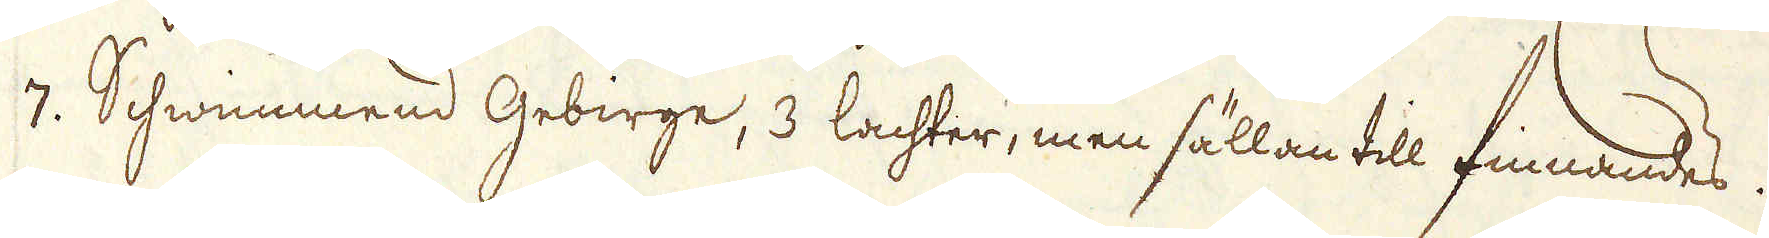7. Schwiemmend Gebirge, 3 lachter, men sällan till finnandes.
